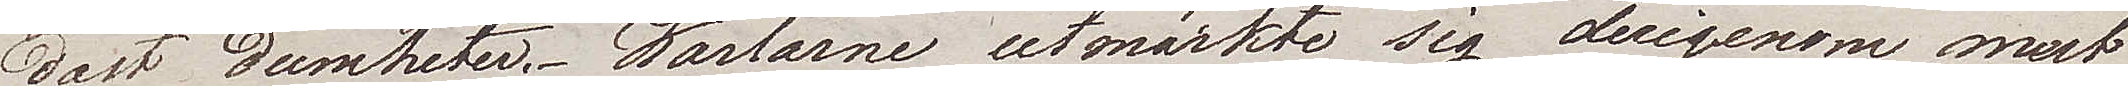dast dumheter. Karlarne utmärkte sig derigenom mest,
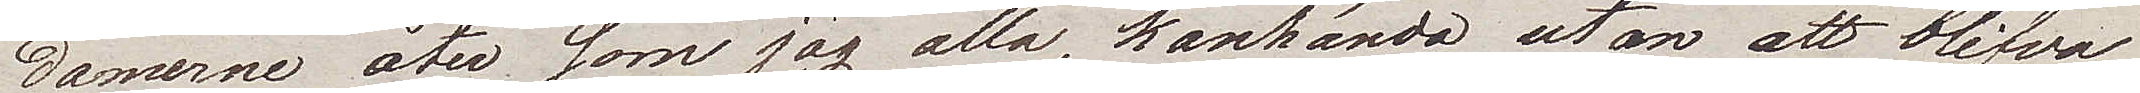damerne åter som jag alla, kanhända utan att blifva
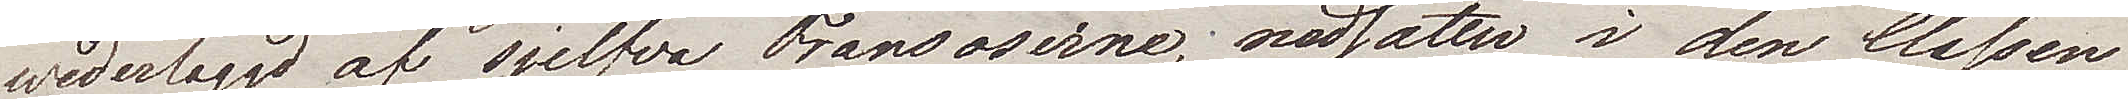wederlaggd af sjelfva Fransoserne, nedsätter i den Classen
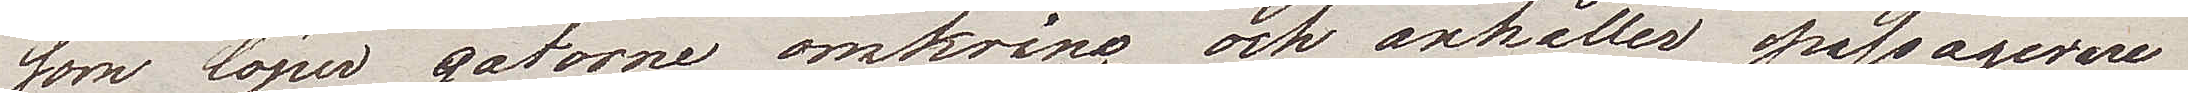som löper gatorne omkring och anhåller passagerare
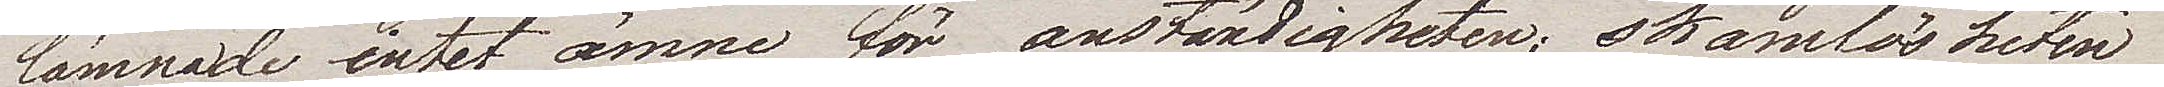lämnade intet ämne för anständigheten; skamlösheten
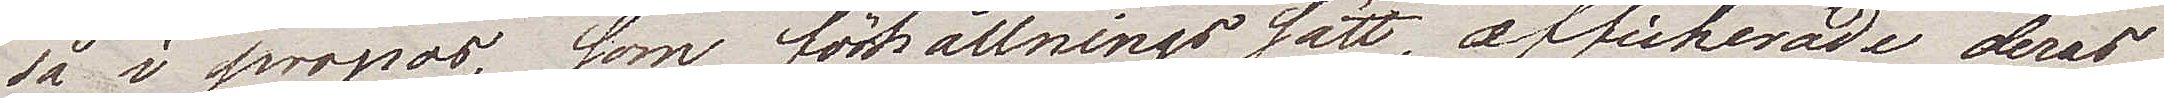så i propos, som förhållningssätt, affisherande deras
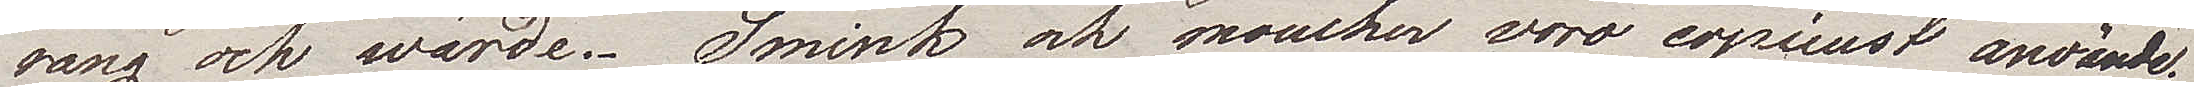rang och wärde. Smink och moucher voro copieust använde.
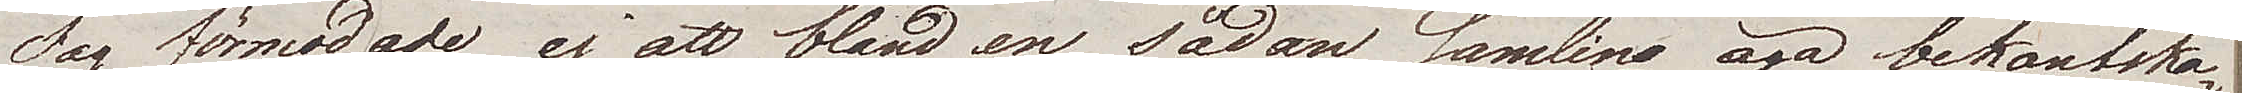Jag förmodade ej att bland en sådan samling äga bekantska¬
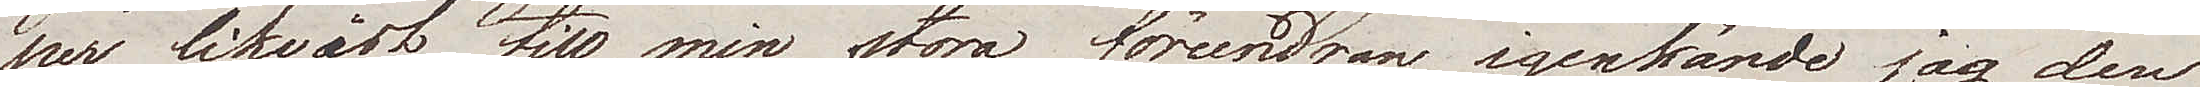per, likwäl till min stora förundran igenkände jag den
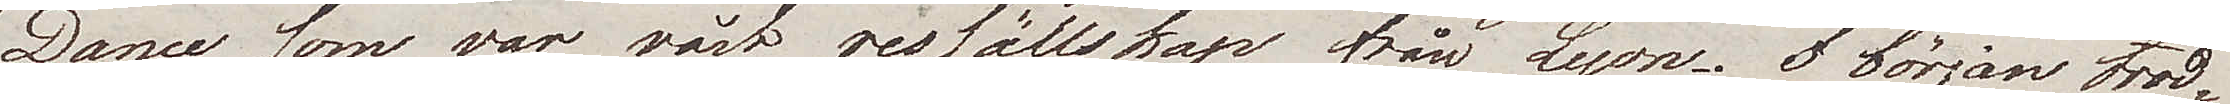Dame som var vårt ressällskap från Lyon. I början trod¬
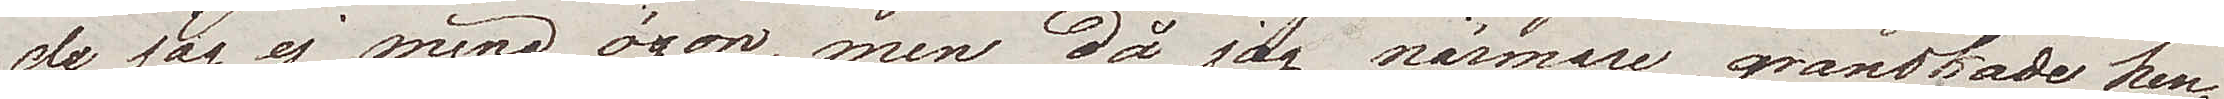de jag ej mina ögon, men då jag närmare granskade hen¬
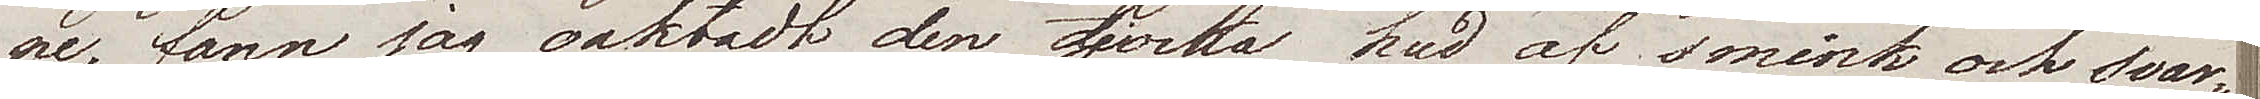ne, fann jag oaktadt den tjocka hud af smink och svar¬
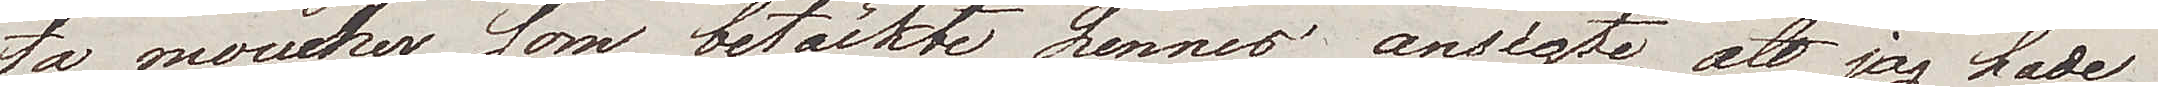ta moucher som betäckte hennes ansigte, att jag hade
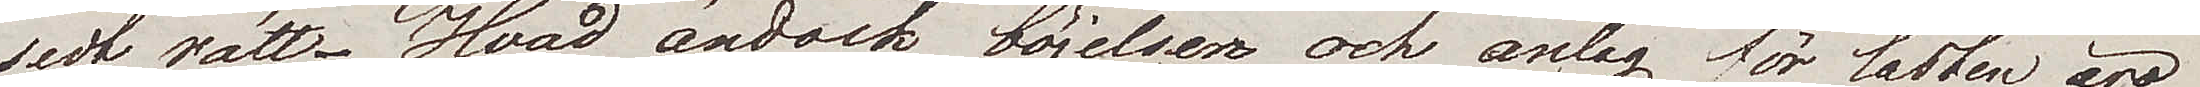sedt rätt. Hvad ändock böjelser och anlag för lasten äro
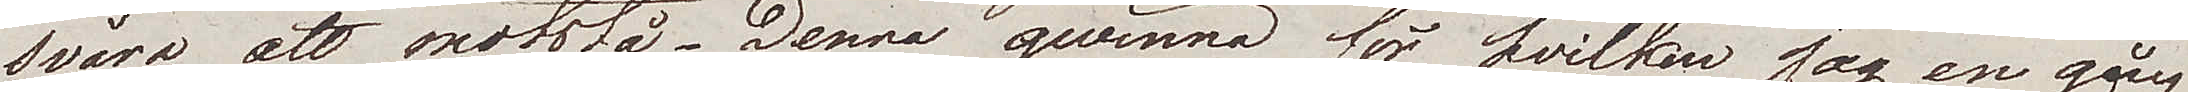svåra att motstå. Denna qvinna för hvilken jag en gång
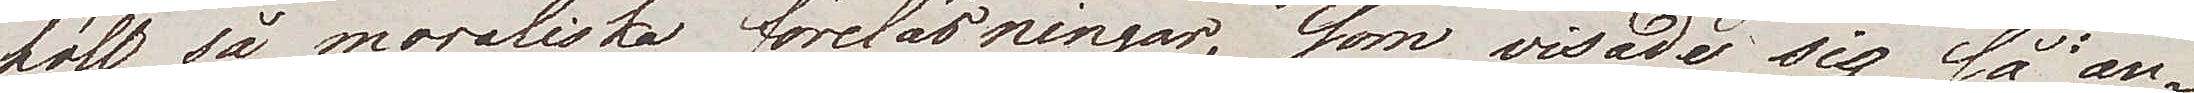höll så moraliska föreläsningar, som visade sig så an¬
